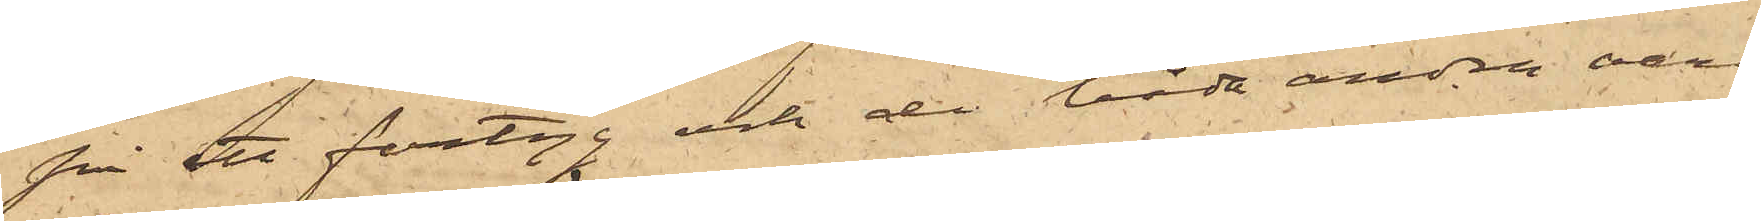på ett fartyg och de båda andra vara
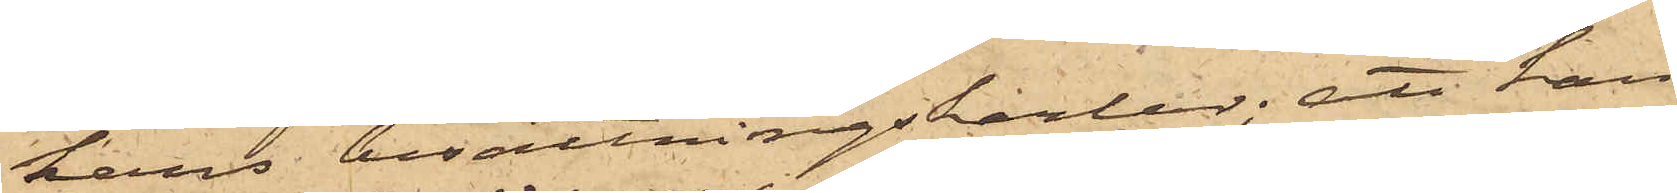hans besättningskarlar; att han
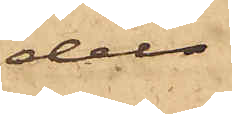dels
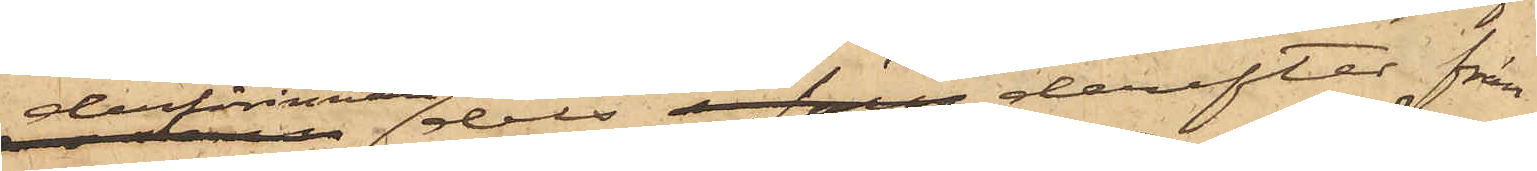dessförinnan dels derefter från
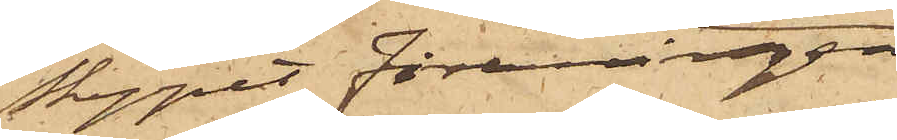Skeppet Föreningen
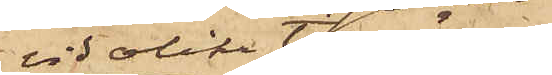vid olika tillfällen  
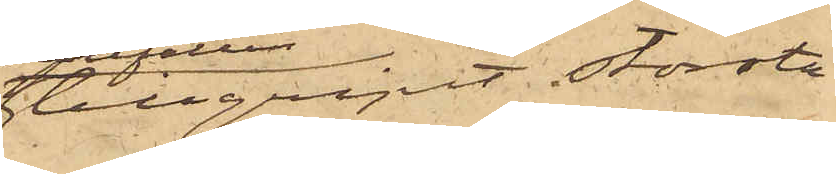tillgripit största
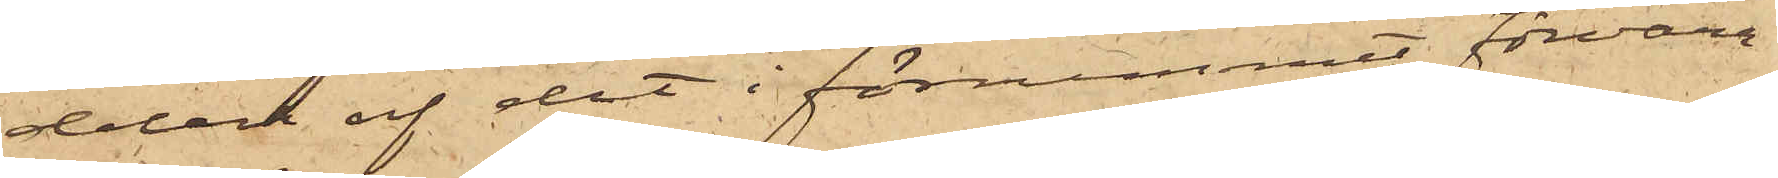delen af det i förrummet förvara¬
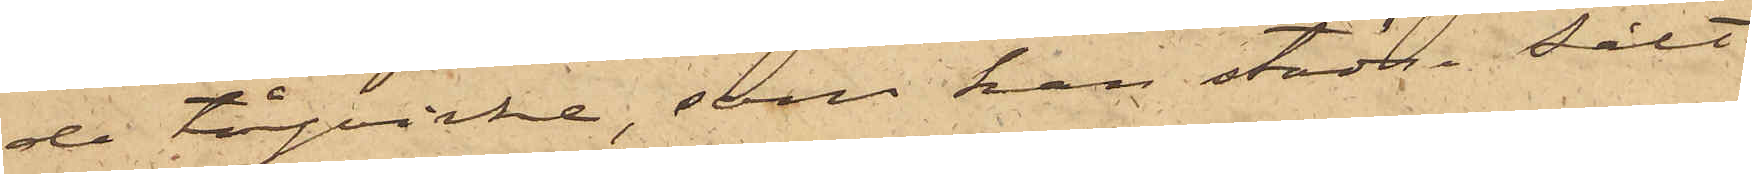de tågvirke, som han städse sålt
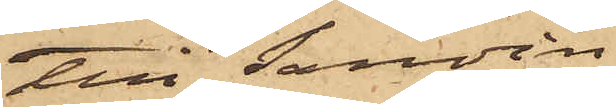till Sandin,
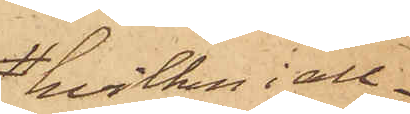hvilken i all¬
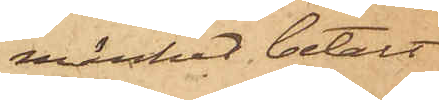mänhet betalt
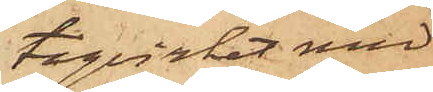tågvirket med
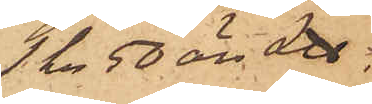1 kr 50 öre L℔;
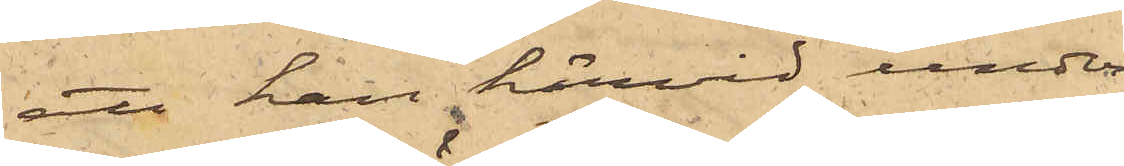att han härvid under¬
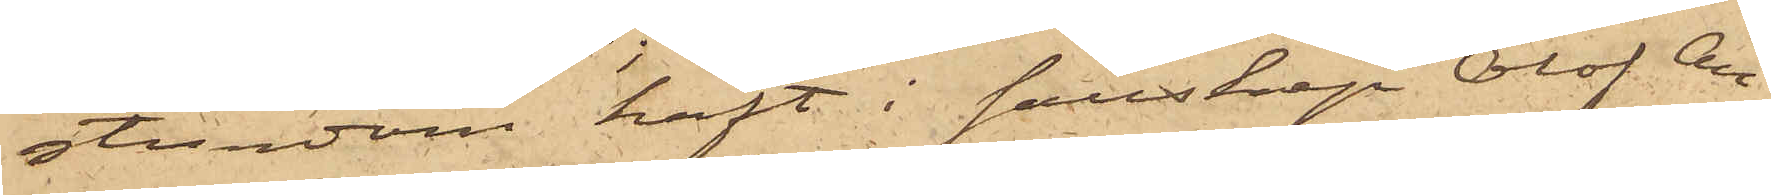stundom haft i sällskap Olof An¬
